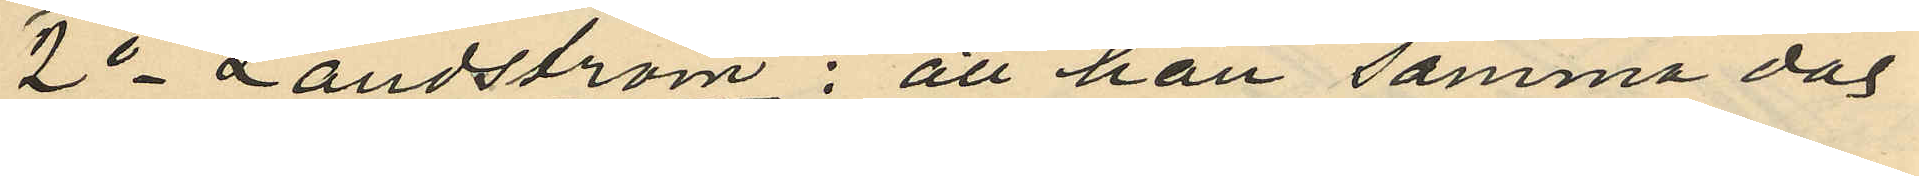2o Landström: att han samma dag
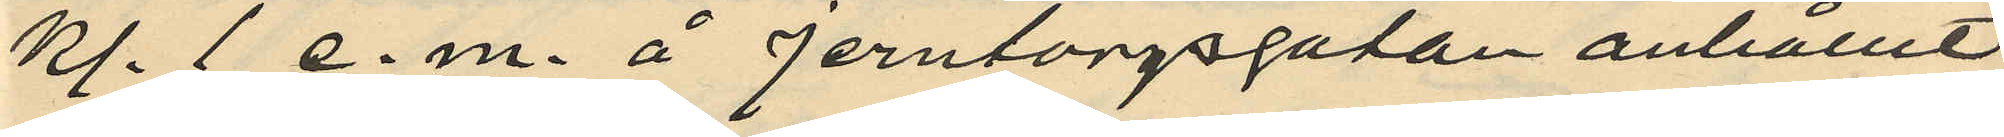kl. 1 e.m. å Jerntorgsgatan anhållit
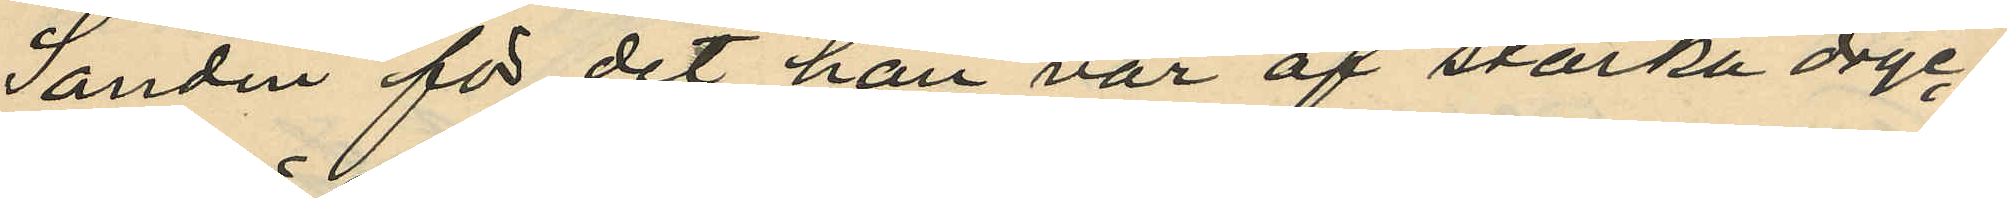Sandin för det han var af starka dryc¬
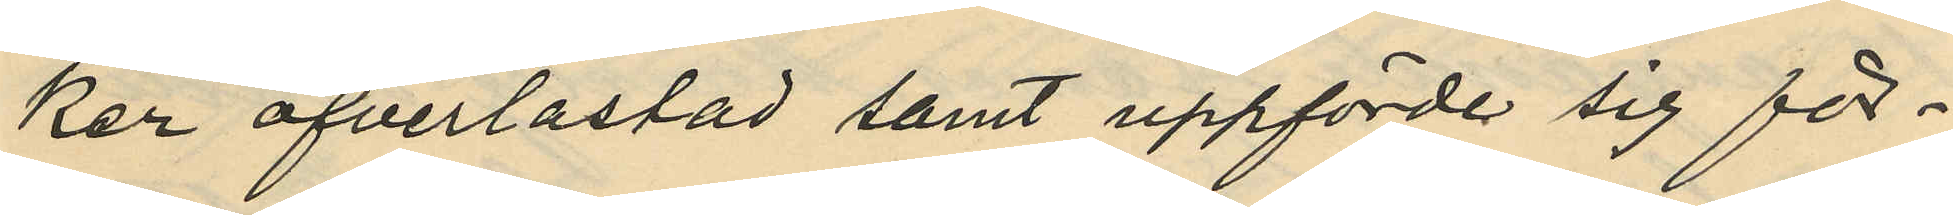ker öfverlastad samt uppförde sig för¬
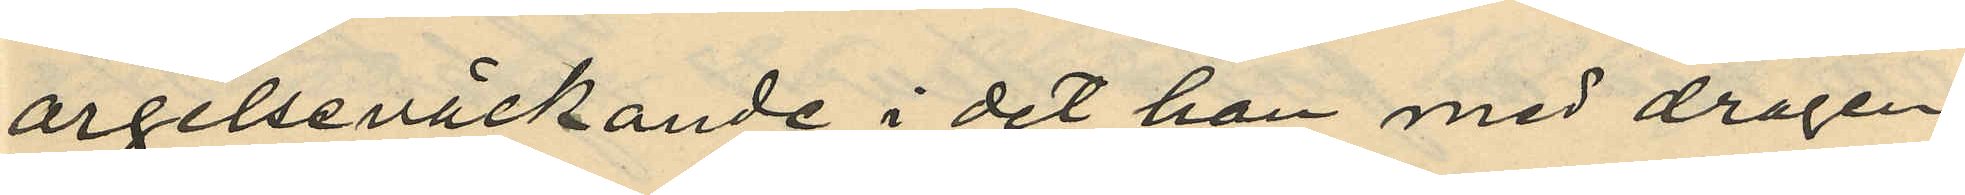argelseväckande i det han med dragen
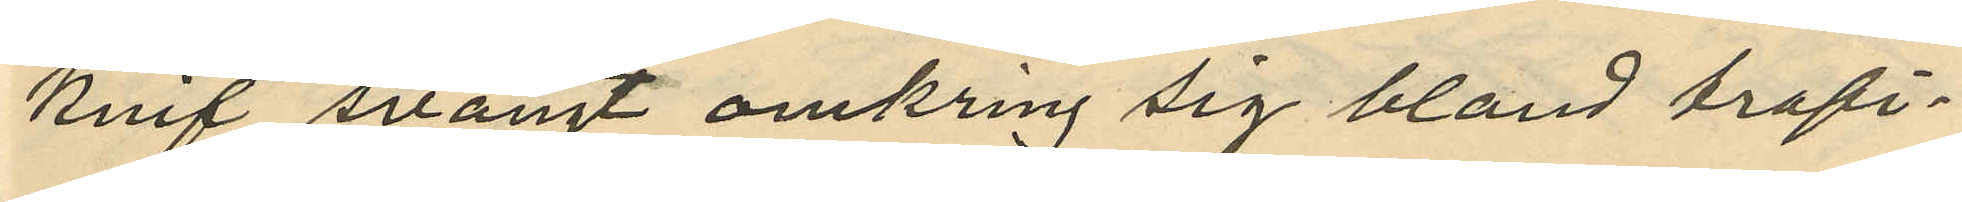knif svängt omkring sig bland trafi¬
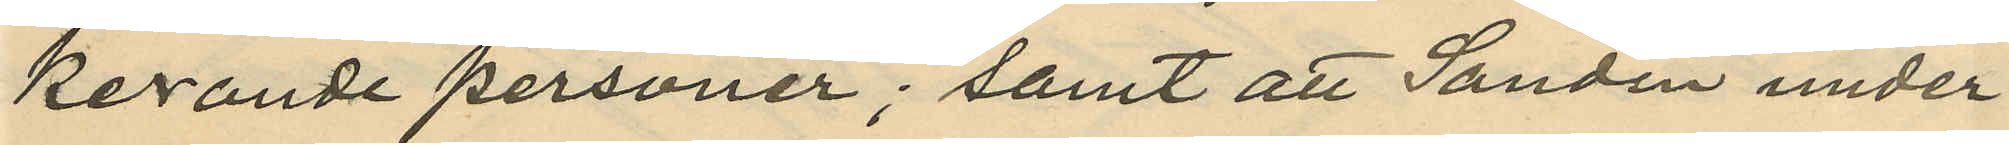kerande personer; samt att Sandin under
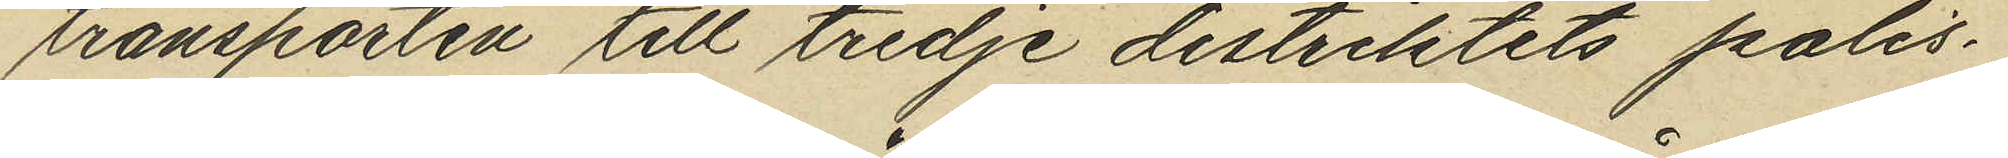transporten till tredje distriktets polis¬
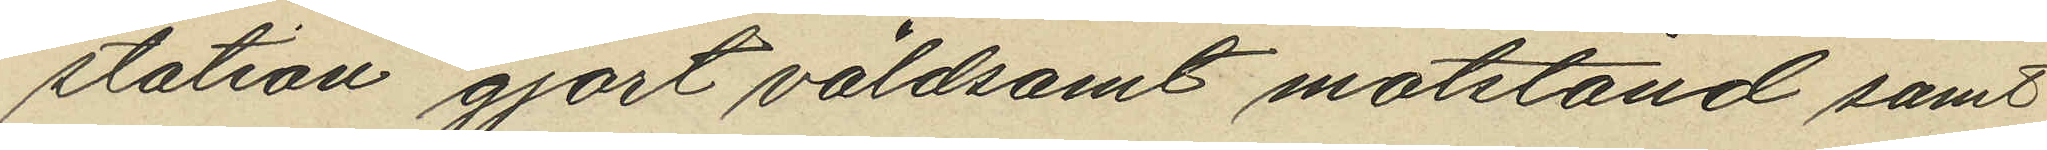station gjort våldsamt motstånd samt
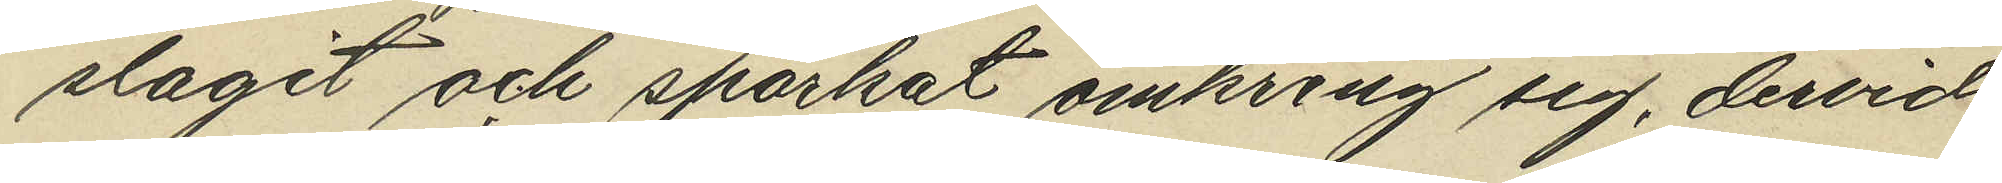slagit och sparkat omkring sig, dervid
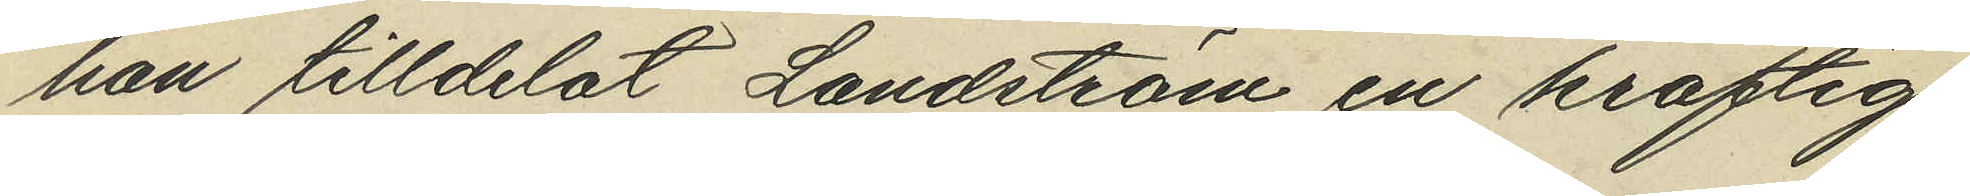han tilldelat Landström en kraftig
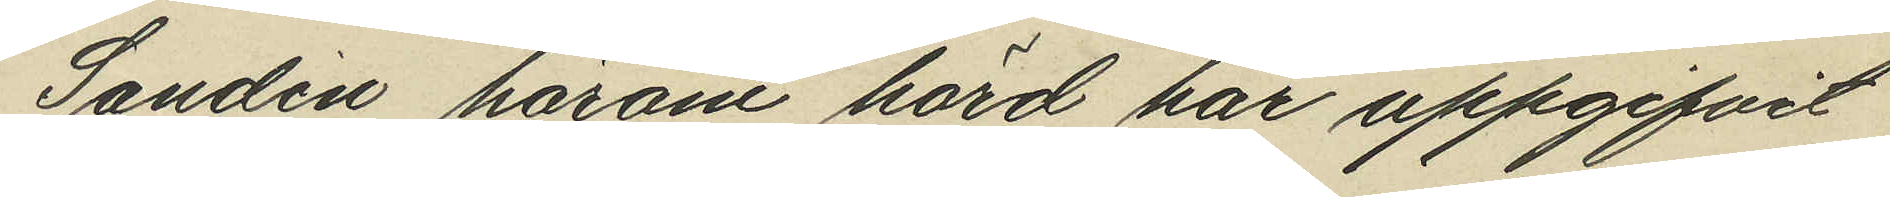Sandin härom hörd har uppgifvit
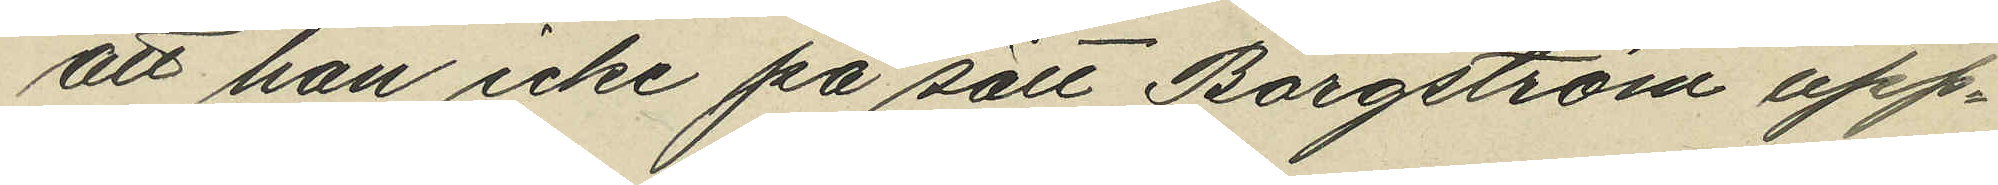att han icke på sätt Borgström upp¬
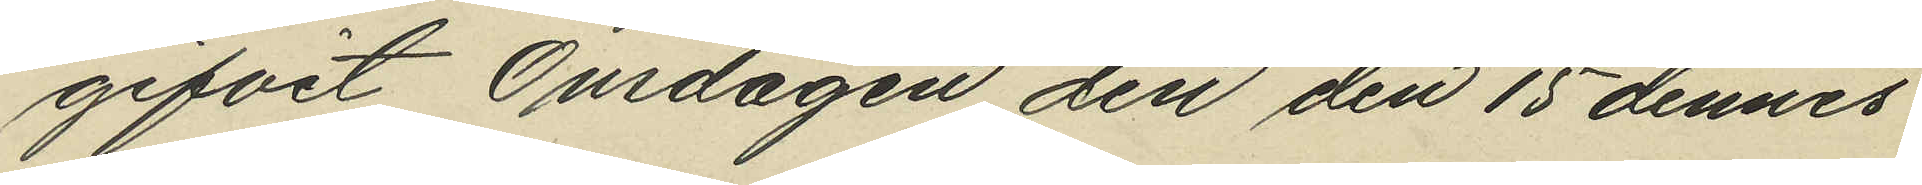gifvit Onsdagen den den 15 dennes
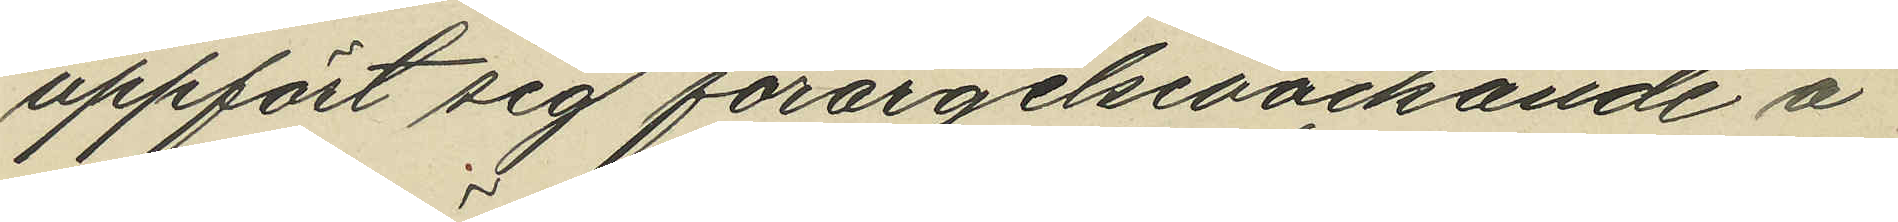uppfört sig förargelseväckande å
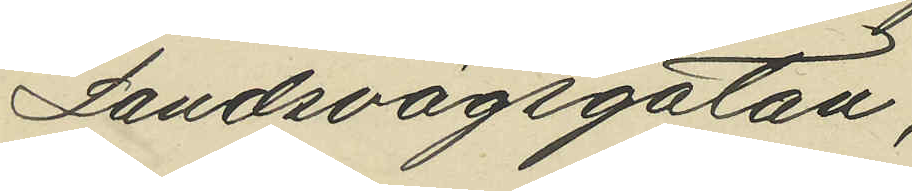Landsvägsgatan,
